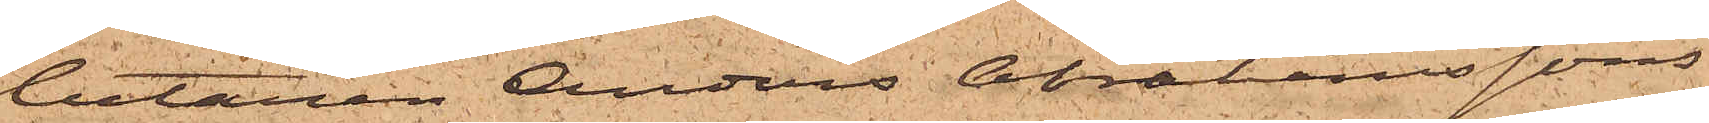betaren Anders Abrahamssons
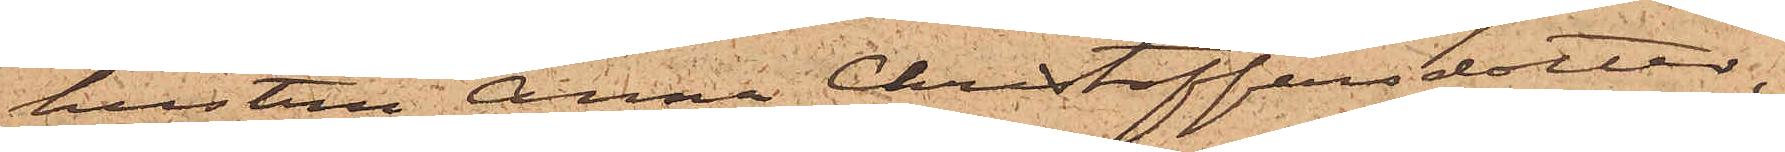hustru Anna Christoffersdotter,
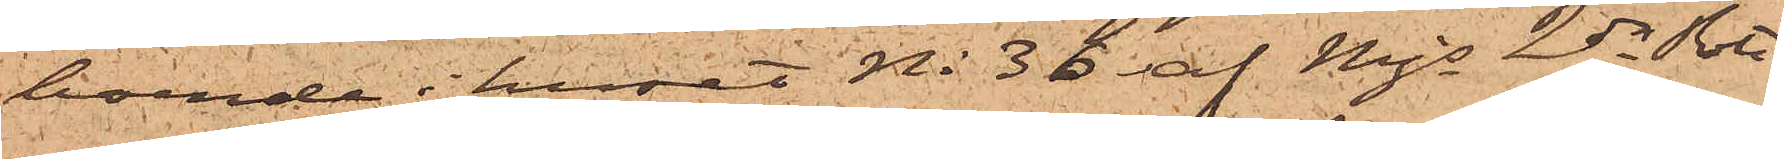boende i huset No 36 af Mjs 2dra Rote,
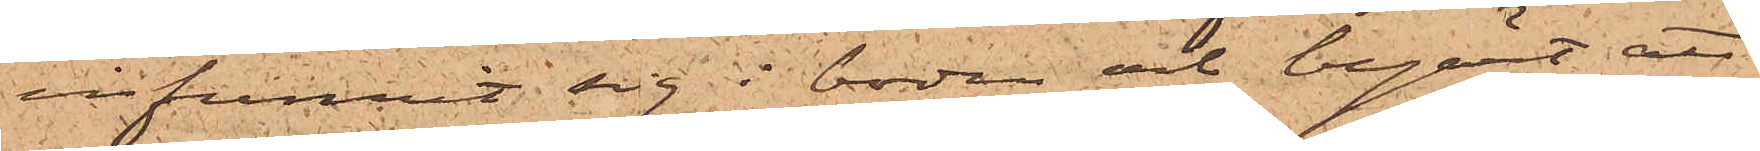infunnit sig i boden och begärt att
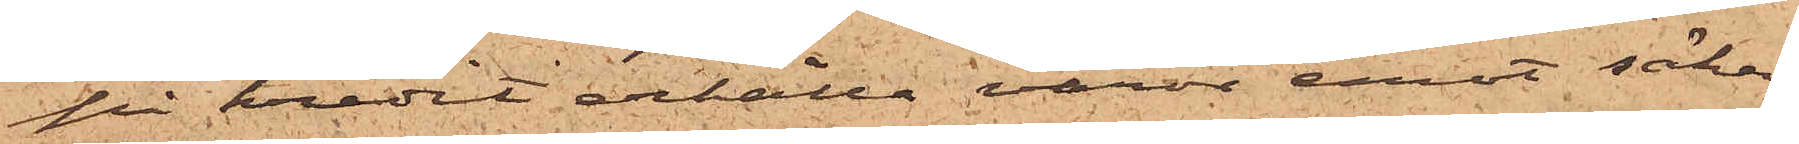på kredit erhålla varor emot säker¬
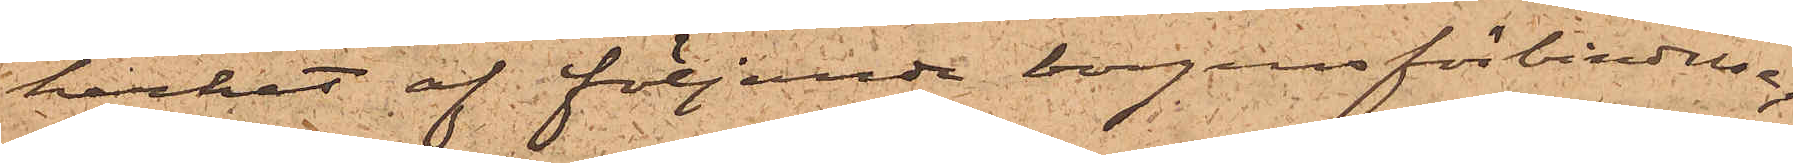kerhet af följande borgensförbindelse,
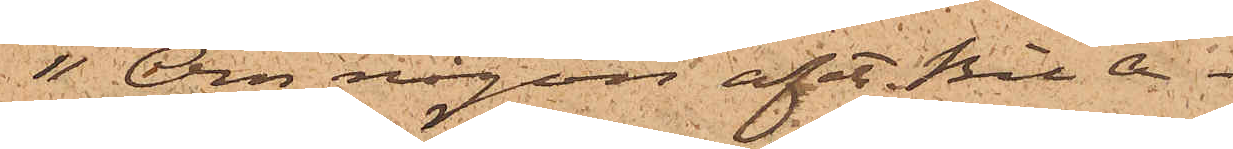"Om någon af etc. Bil A.
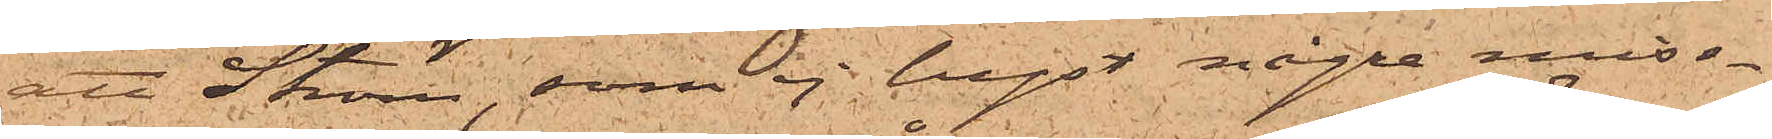att Ström, som ej hyst några miss¬
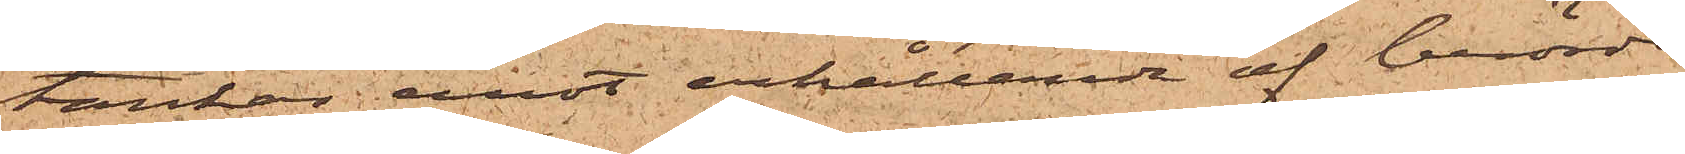tankar emot erhållande af berörde
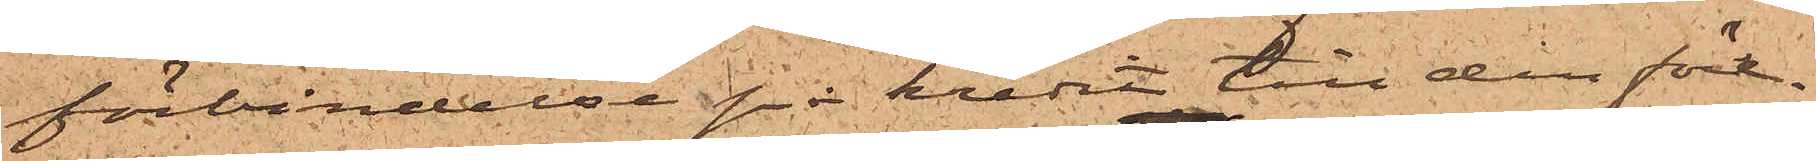förbindelse på kredit till den före¬
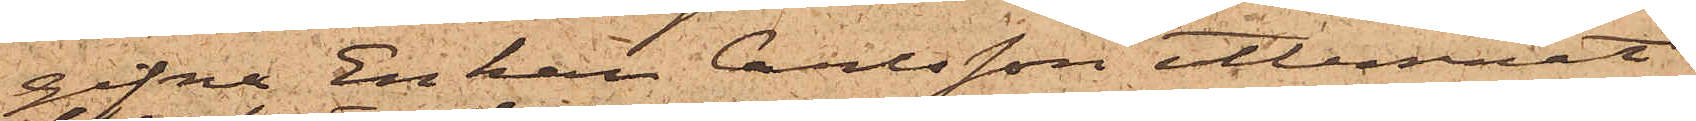gifna Enkan Carlsson utlemnat
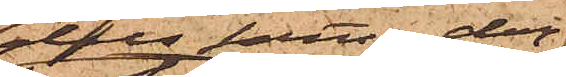dels samma dag
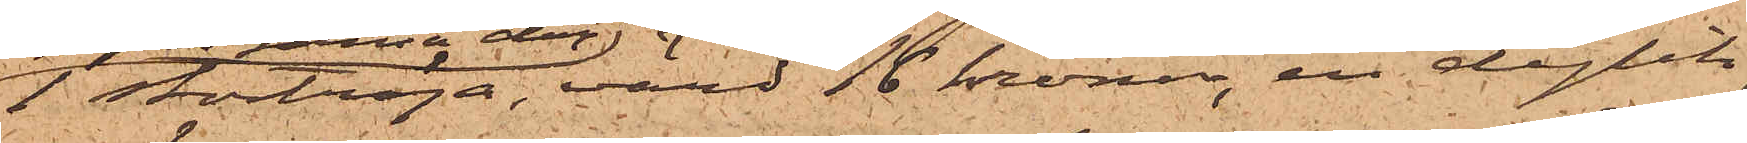1 stortröja, värd 16 kronor, en dylik,
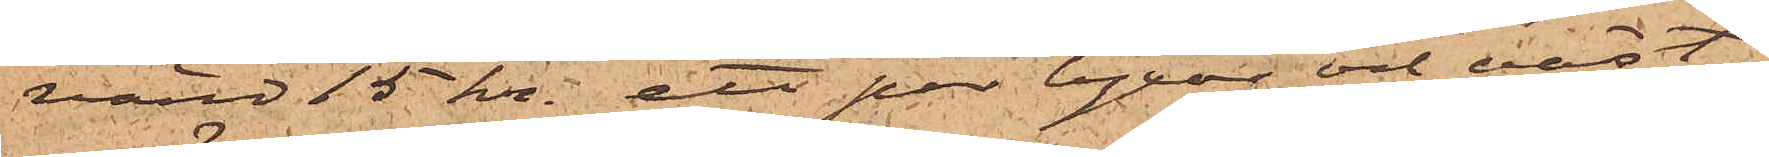värd 15 kr, ett par byxor och väst,
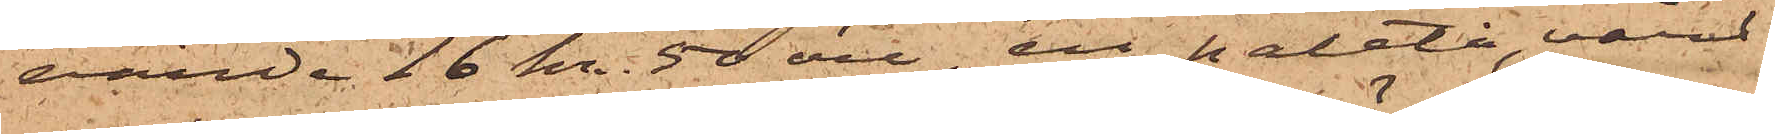värde 16 kr. 50 öre, en paletå, värd
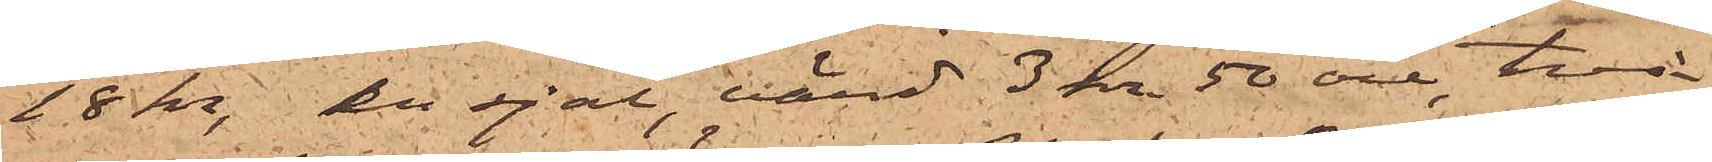18 kr, en sjal, värd 3 kr 50 öre, två
